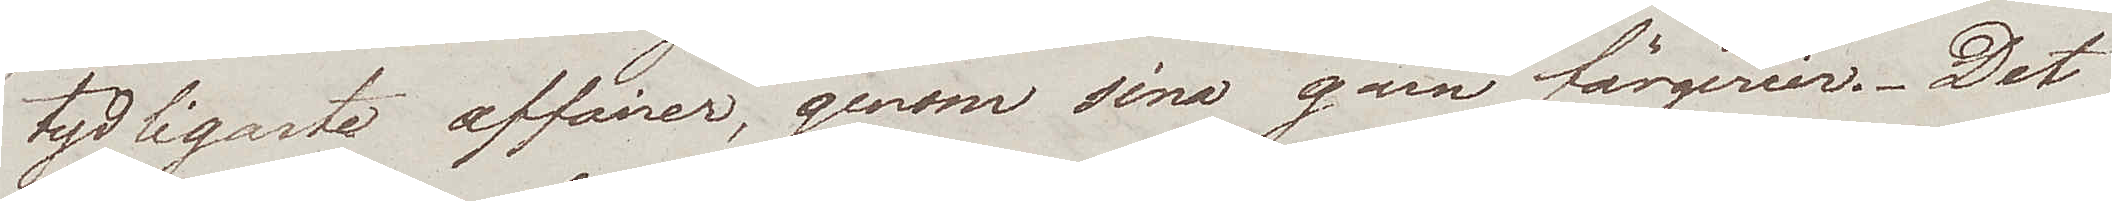tydligaste affairer, genom sina garn färgerier. Det
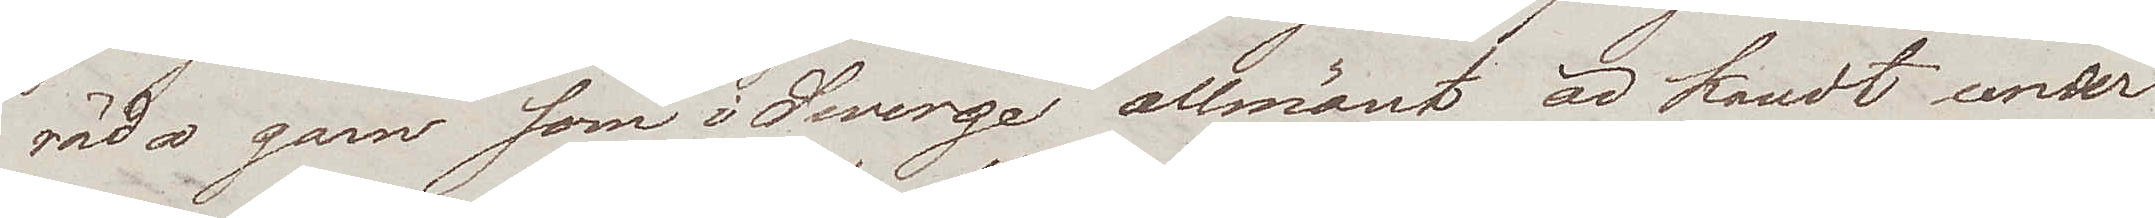röda garn som i Swerge allmänt är kändt under
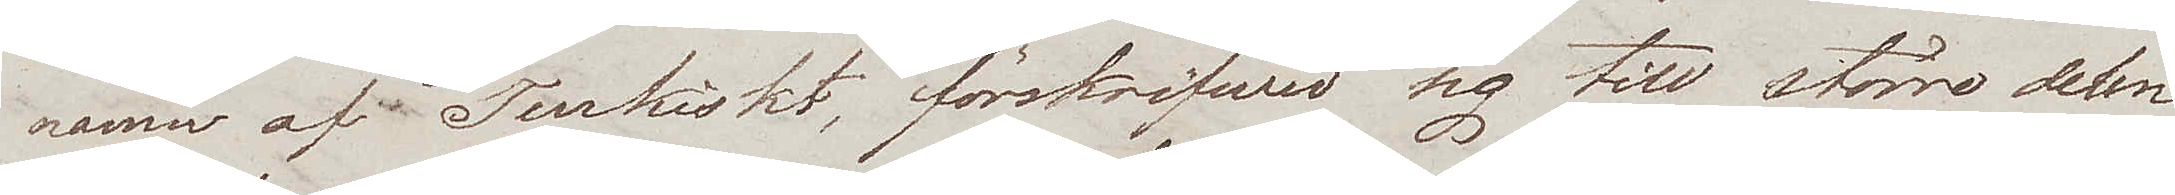namn af Turkiskt, förskrifwer sig till större delen
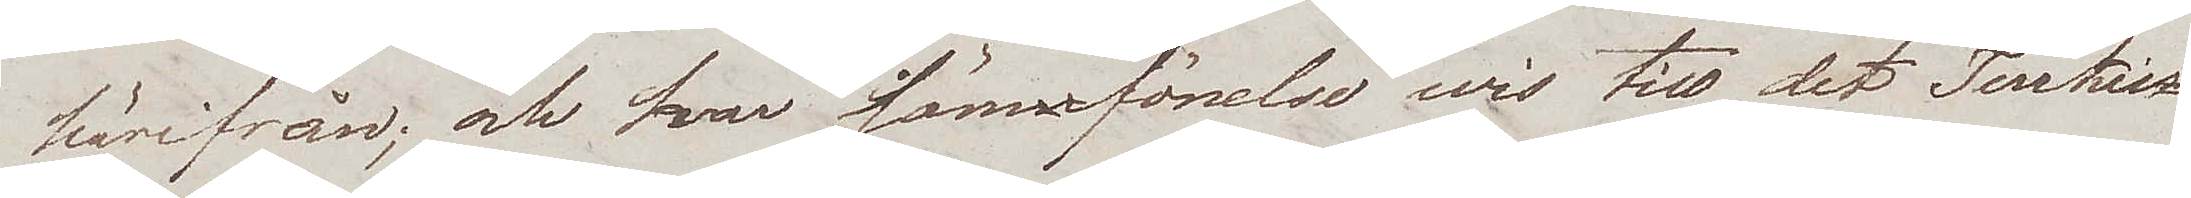härifrån; och har jämförelsewis till det Turkis¬
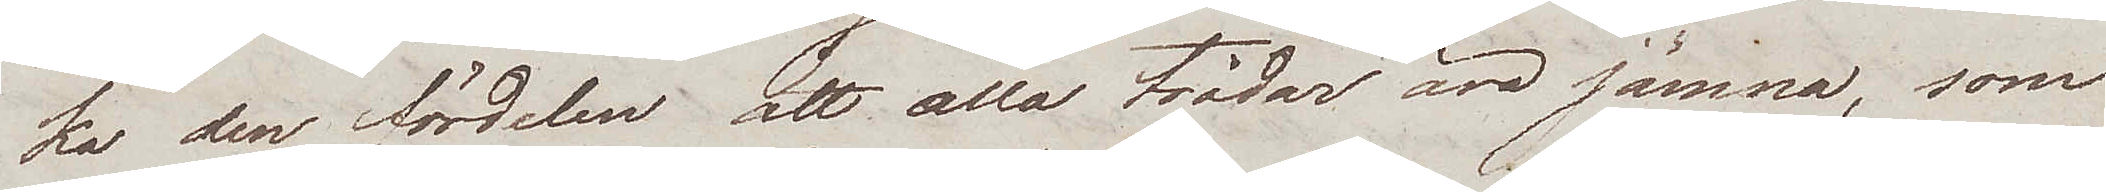ka den fördelen att alla trådar äro jämna, som
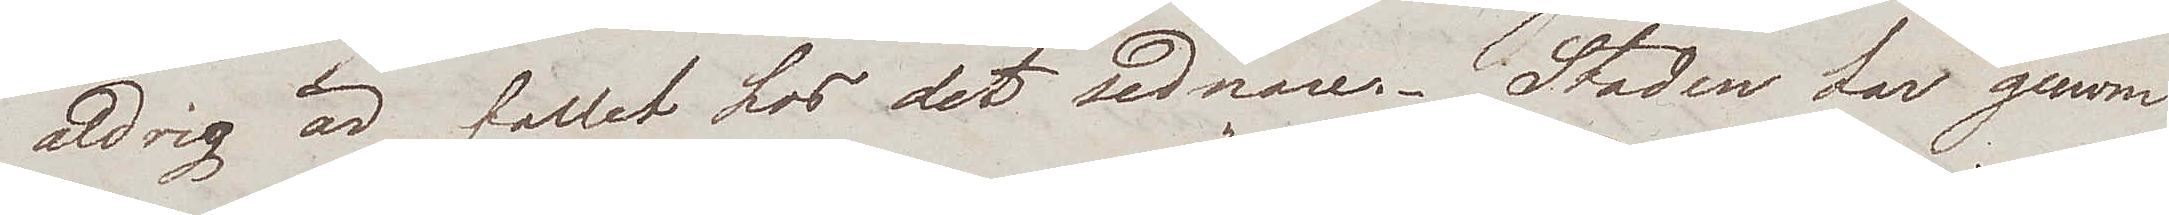aldrig är fallet hos det sednare. Staden har genom
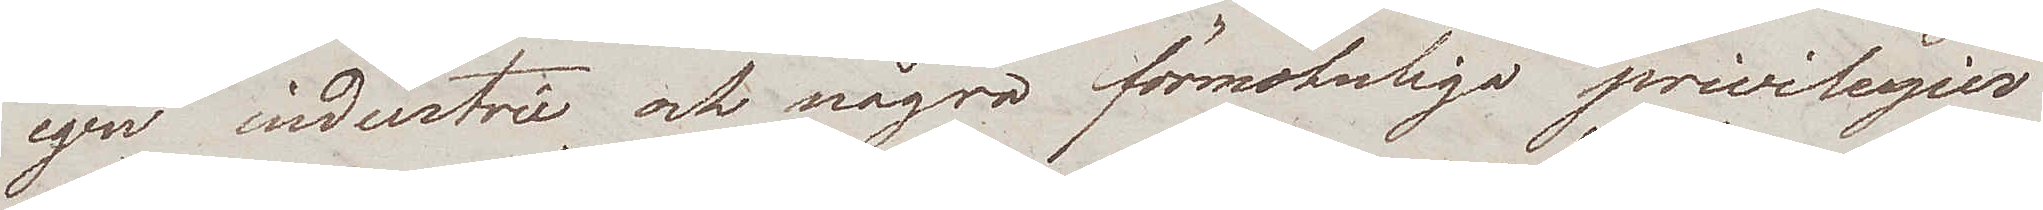egen industrie och några förmohnliga privilegier
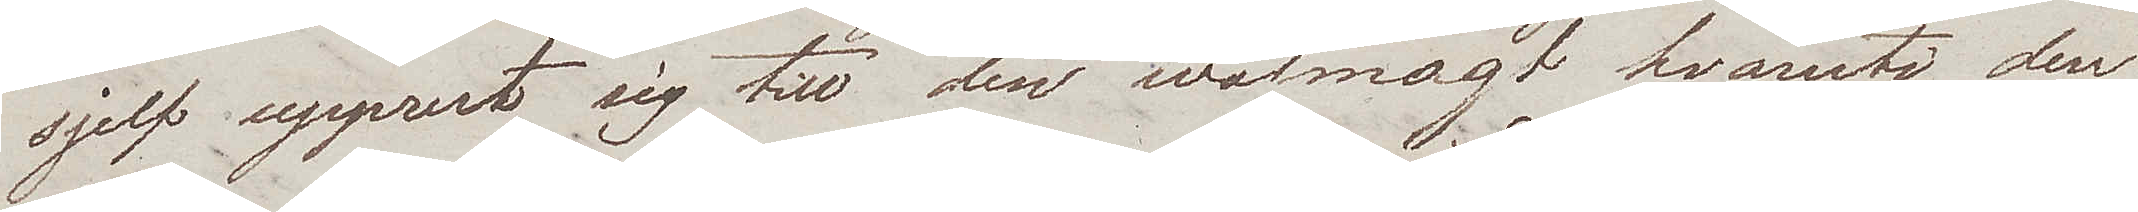sjelf upprest sig till den wälmagt hvaruti den
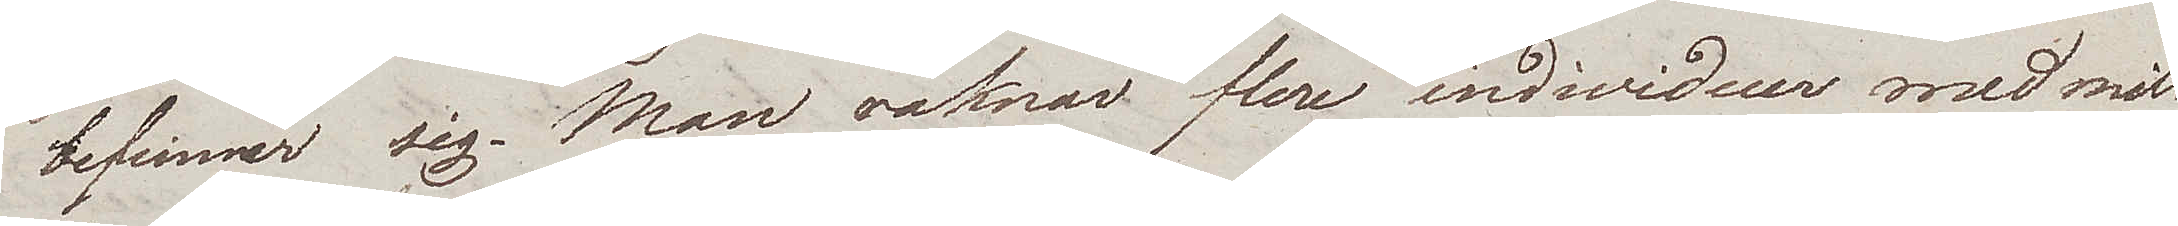befinner sig. Man räknar flere individuer med mil¬
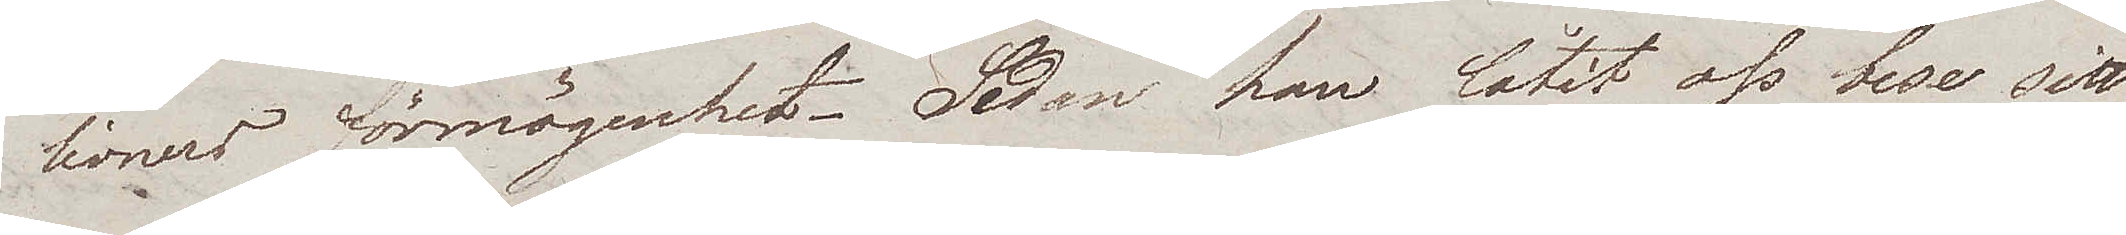lioners förmögenhet. Sedan han låtit oss bese sitt
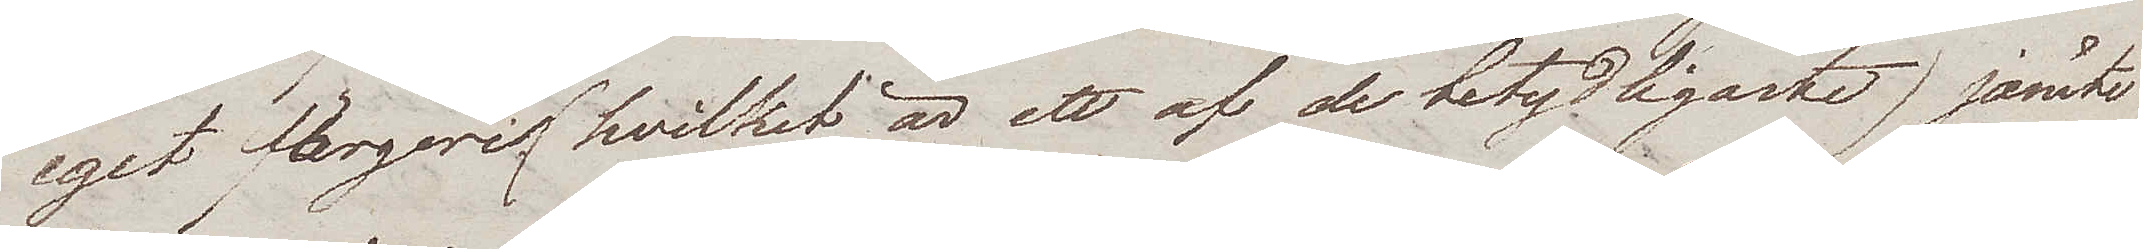eget färgeri, hvilket är ett af de betydligaste, jämte
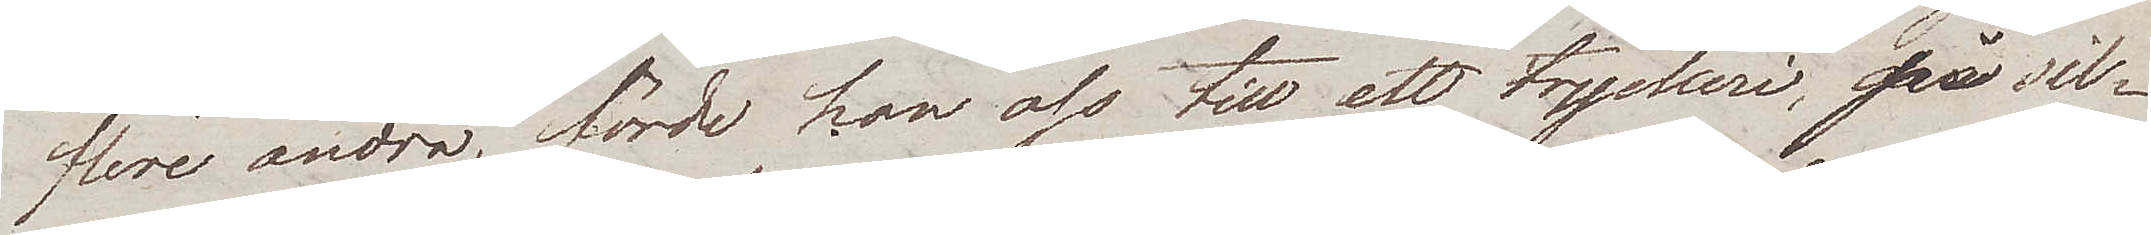flere andra, förde han oss till ett tryckeri, på sil¬
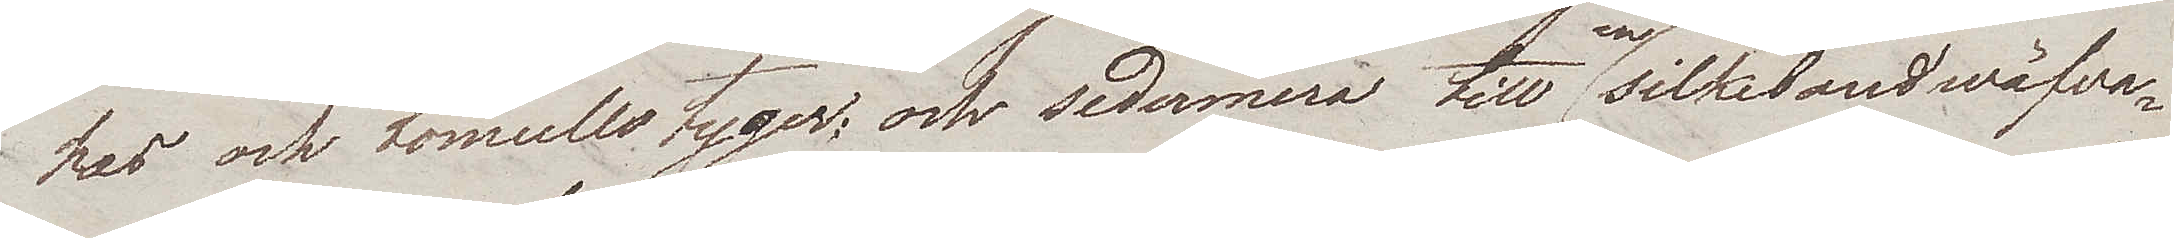kes och bomullstyger; och sedermera till en silkebandwäfva¬
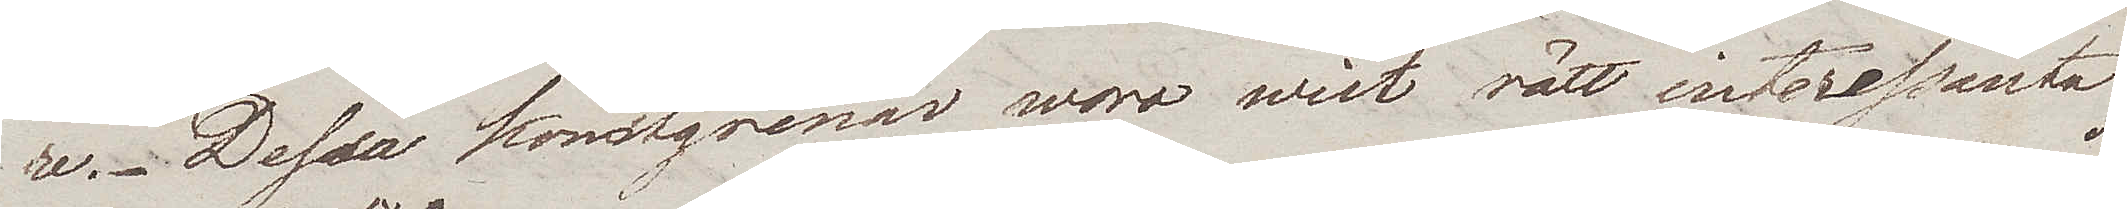re. Dessa konstgrenar woro wist rätt interessanta
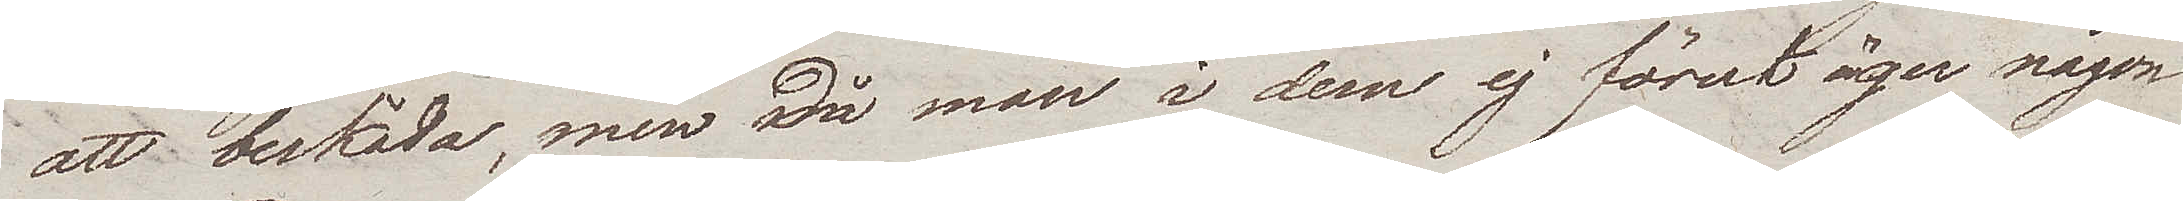att beskåda, men då man i dem ej förut äger någon
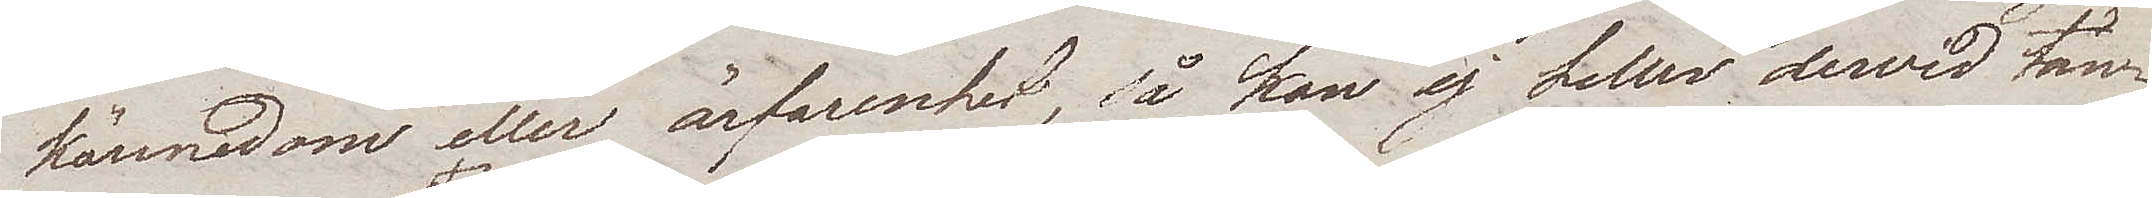kännedom eller ärfarenhet, så kan ej heller derwid tän¬
